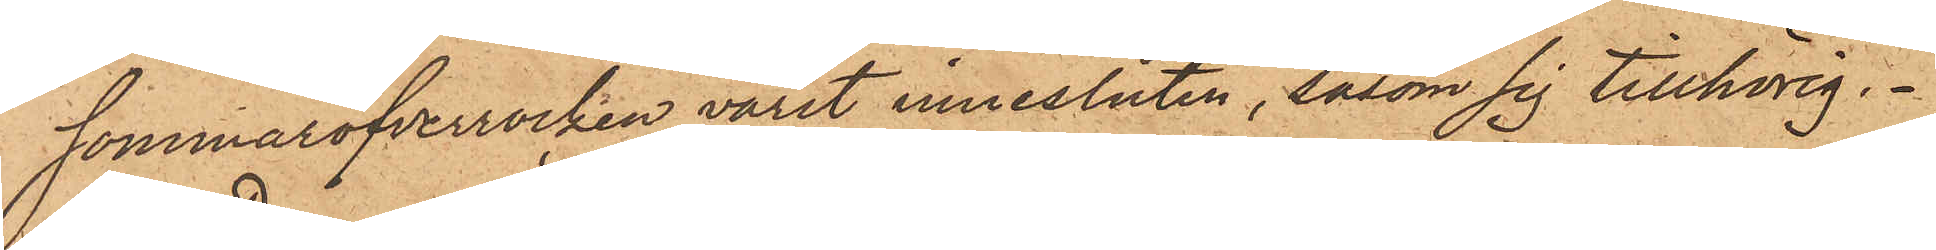sommaröfverrocken varit innesluten, såsom sig tillhörig.
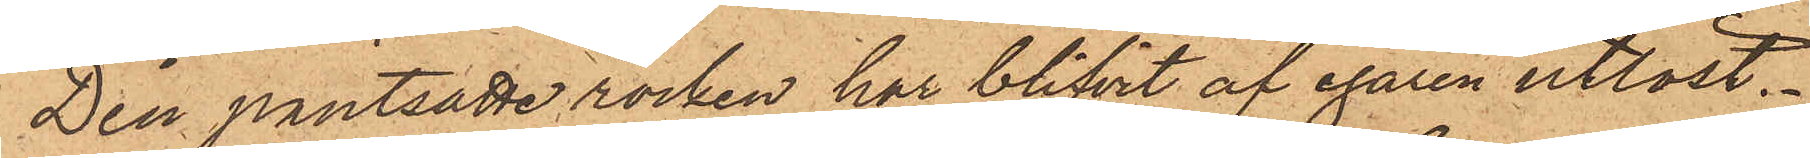Den pantsatte rocken har blifvit af egaren utlöst.
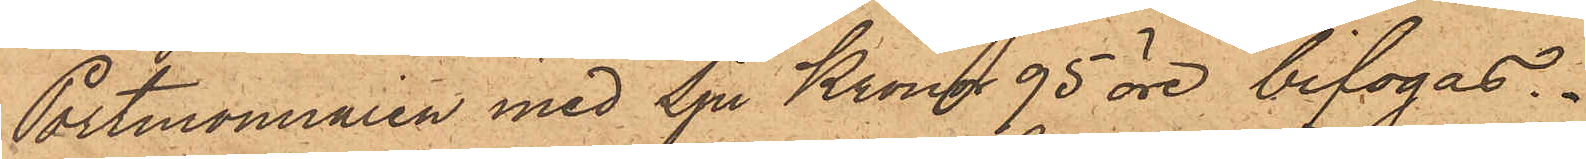Portmonnaien med Sju Kronor 95 öre bifogas.
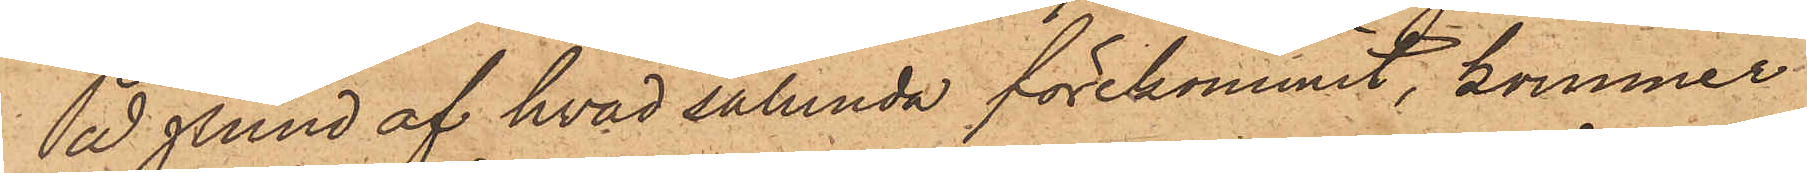På grund af hvad sålunda förekommit, kommer
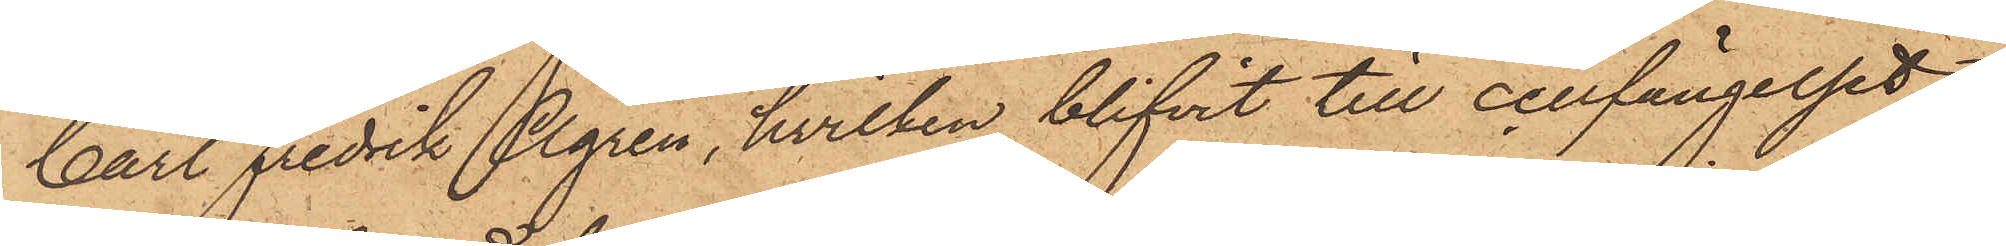Carl Fredrik Ågren, hvilken blifvit till cellfängelset
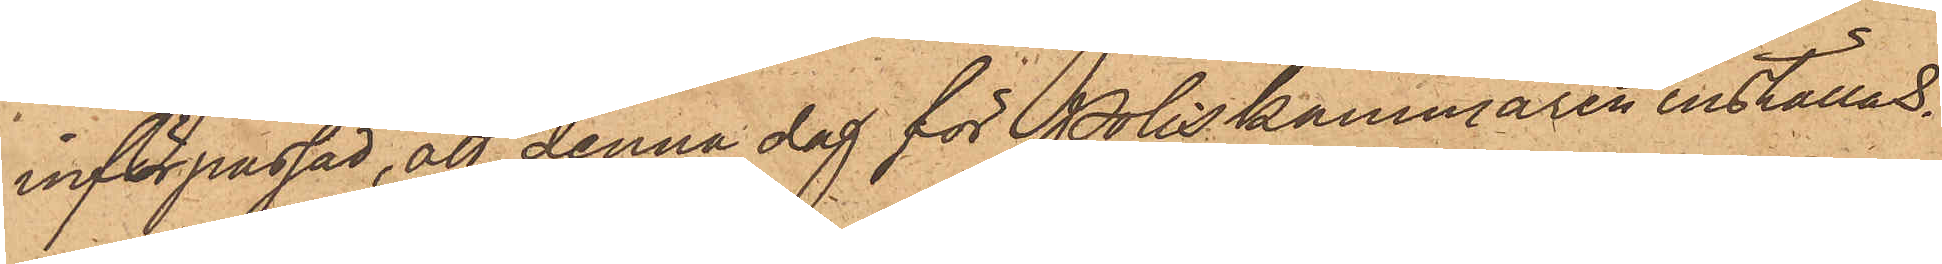införpassad, att denna dag för Poliskammaren inställas.
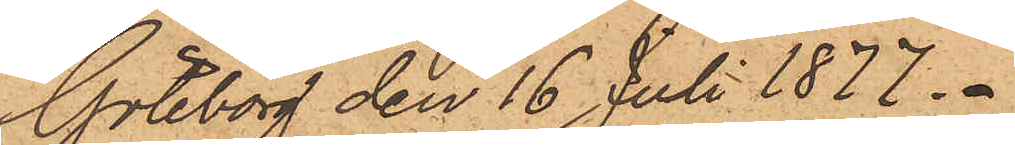Göteborg den 16 Juli 1877.
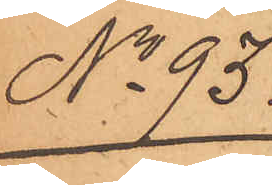No 95.
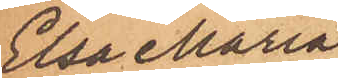Elsa Maria
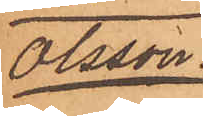Olsson.
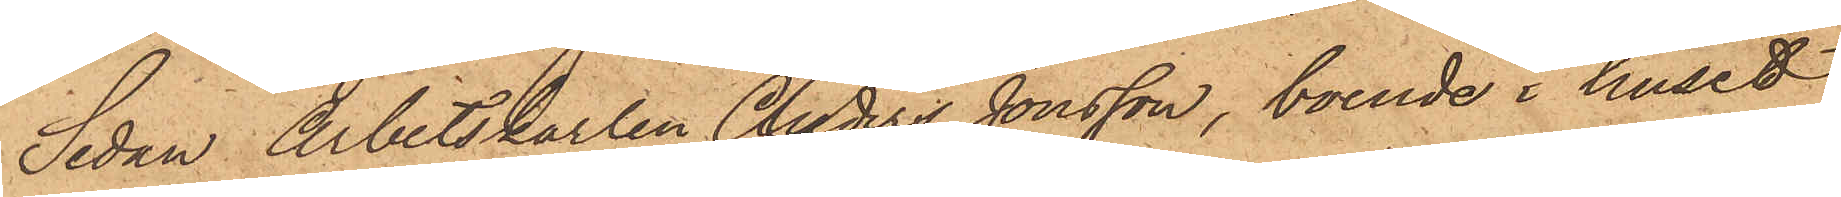Sedan Arbetskarlen Anders Jonsson, boende i huset
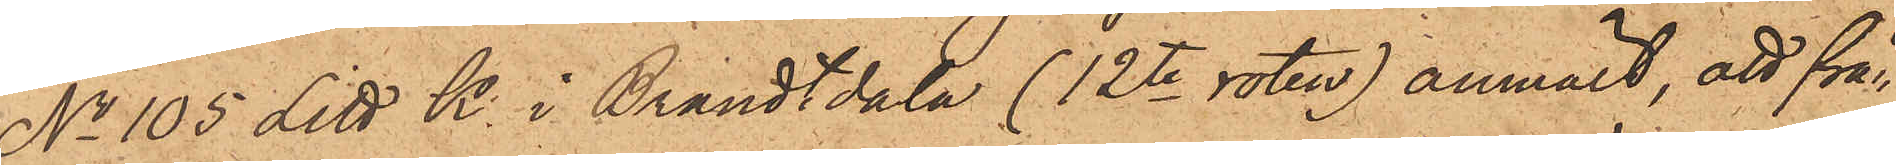No 105 Litt K. i Brandtdala (12te roten) anmält, att från
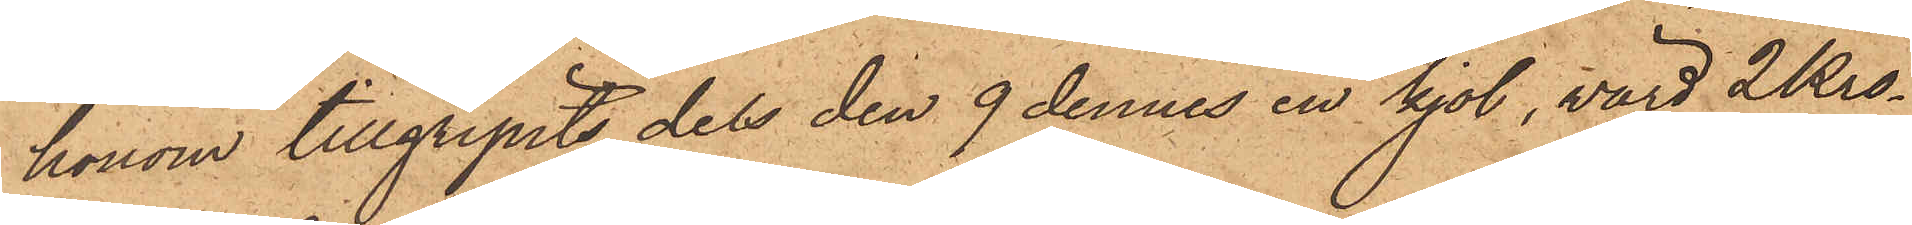honom tillgripits dels den 9 dennes en kjol, värd 2 Kro¬
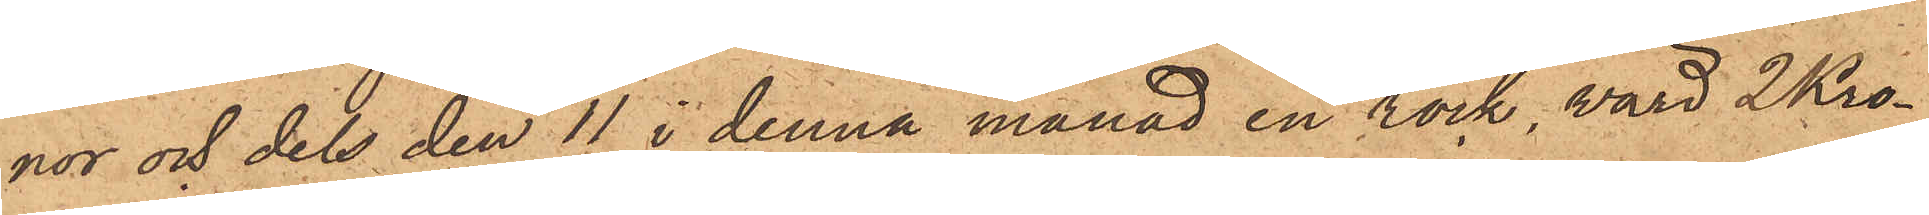nor och dels den 11 i denna månad en rock, värd 2 Kro¬
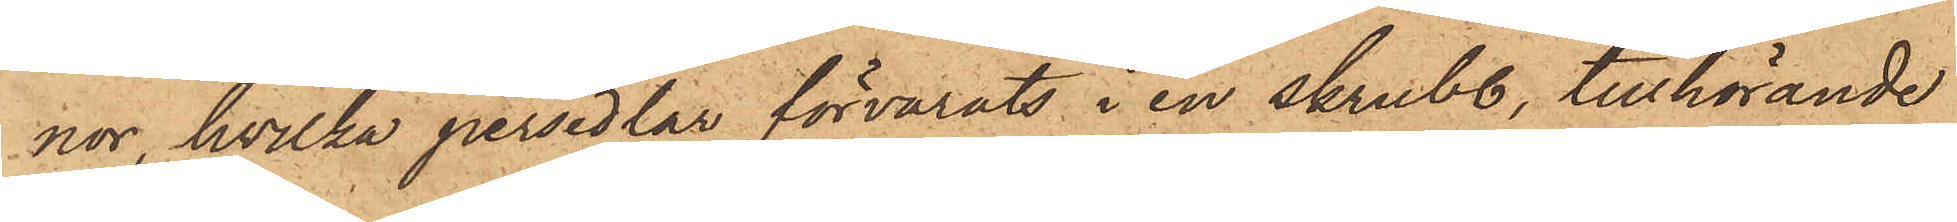nor, hvilka persedlar förvarats i en skrubb, tillhörande
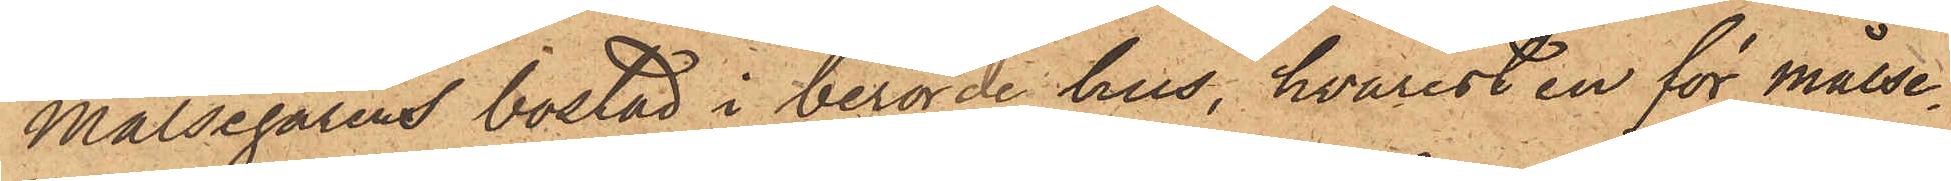Målsegarens bostad i berörde hus, hvarest en för målse¬
